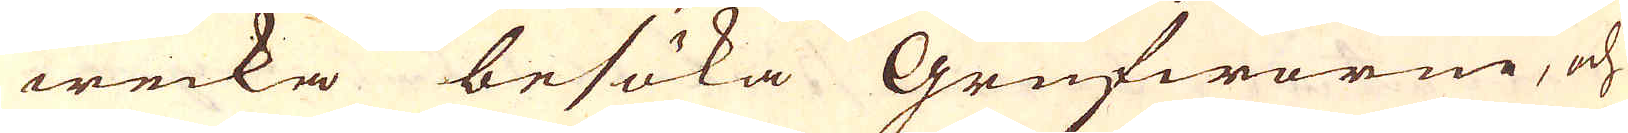wecka besöka Grufworne, och
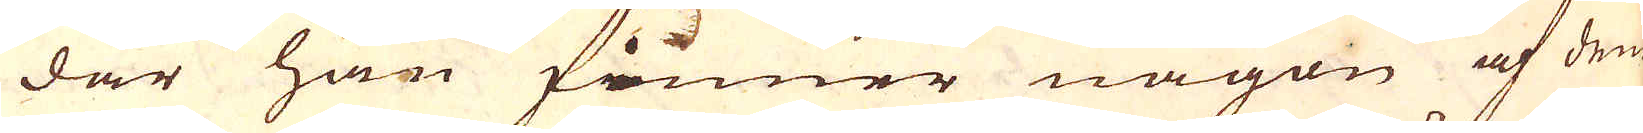där han finner någon af dem
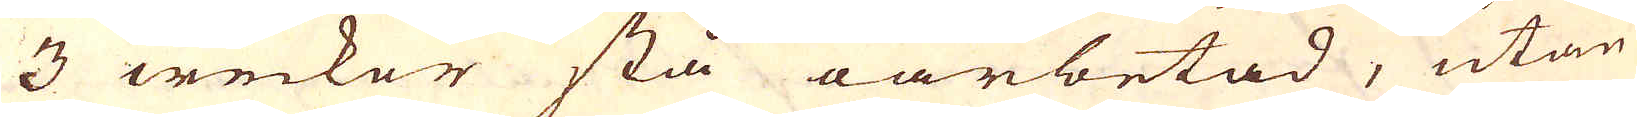3 weckor stå oarbetad, utan
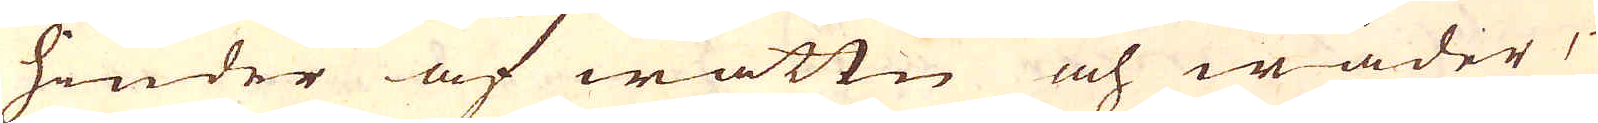hinder af wattn och wäder,
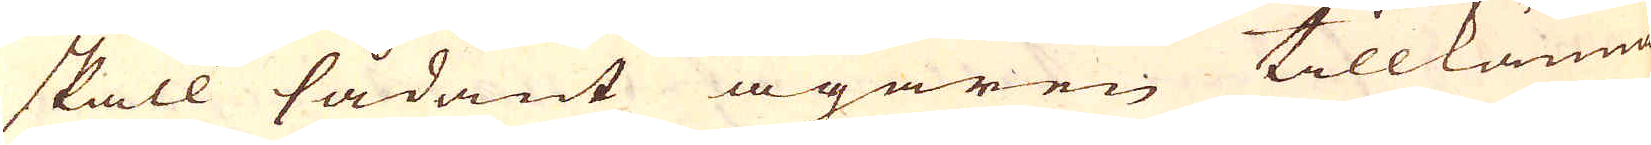skall sådant ägaren tillkänna
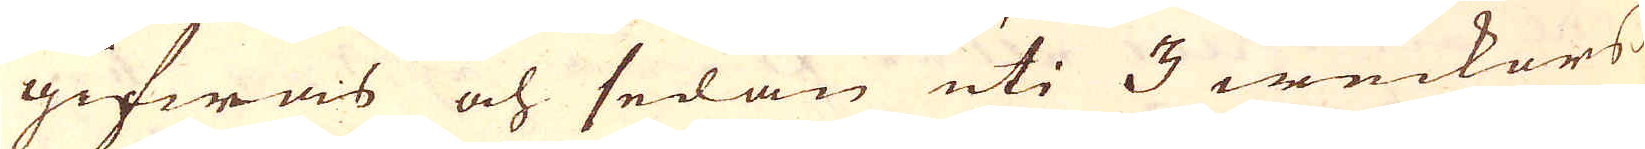gifwas och sedan uti 3 weckors
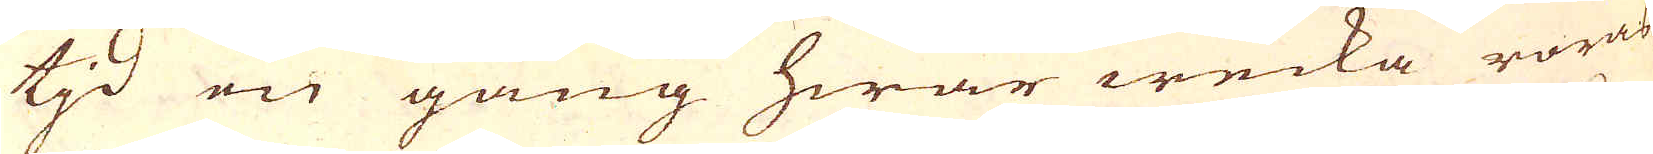tjd en gång hwar wecka röras
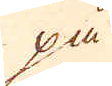på
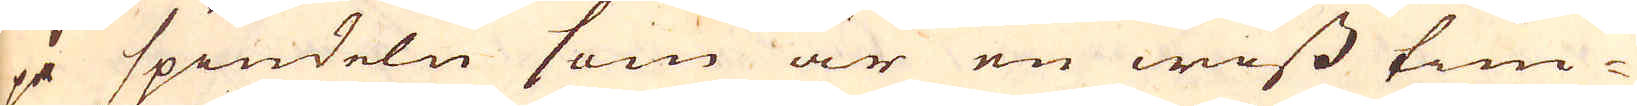på spindeln som är en wiss tim-
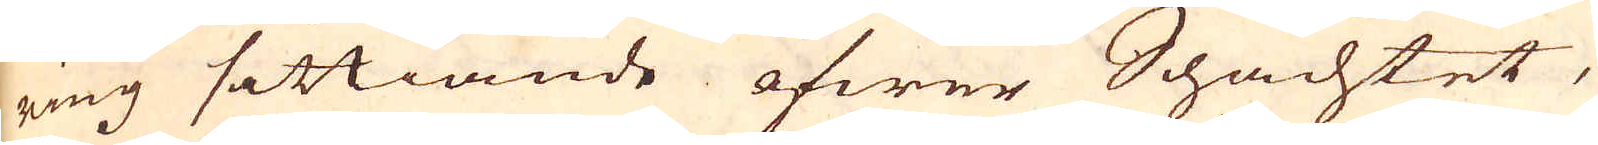ring sittiande öfwer Schachtet,
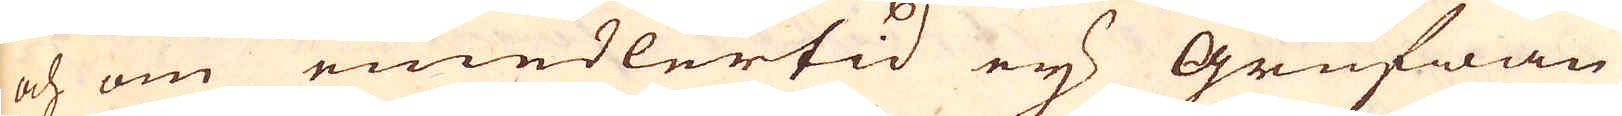och om emedlertid ey Grufwan
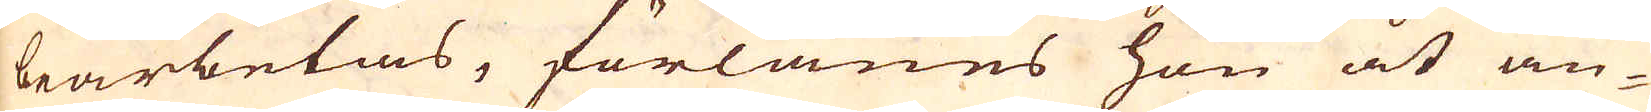bearbetas, förlänes hon åt an-
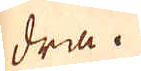dra.
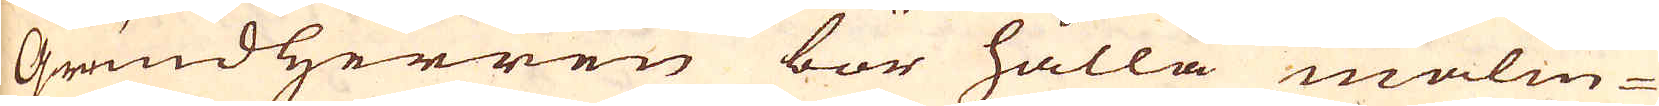Grundherren bör hålla malm-
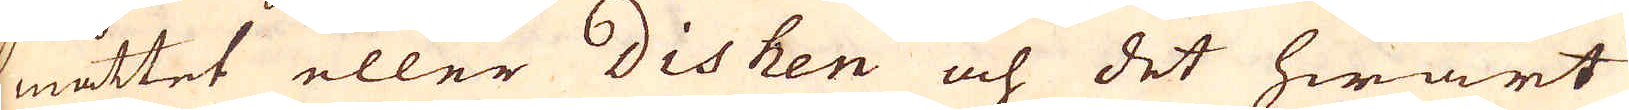måttet eller dishen och det hwart
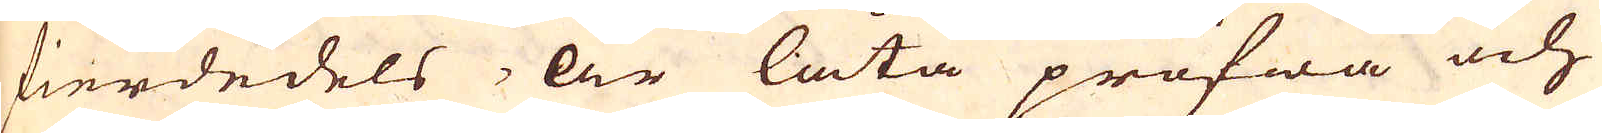fierdedels år låta pröfwa och
